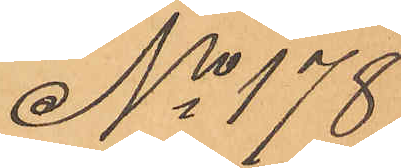No 178
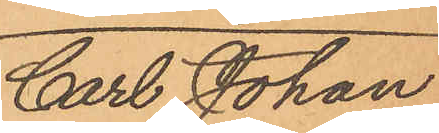Carl Johan
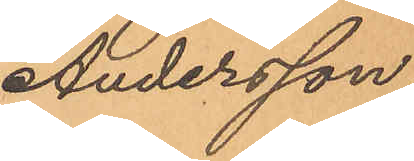Andersson
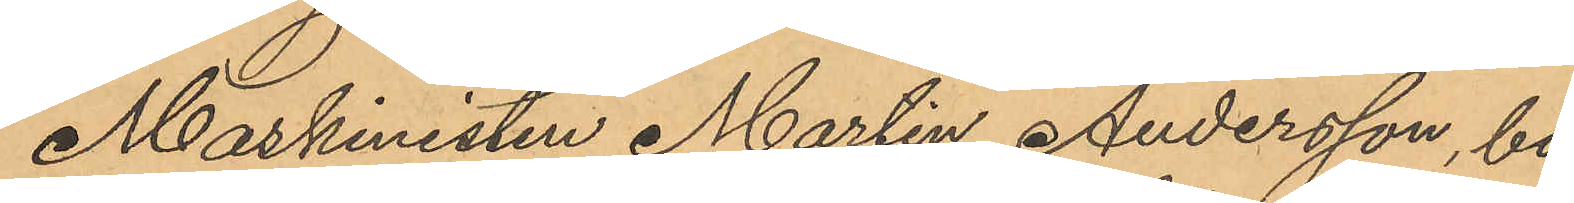Maskinisten Martin Andersson, bo¬
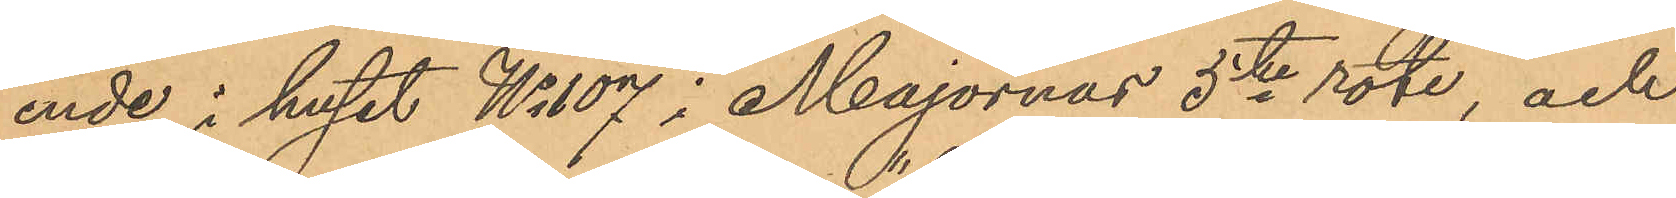ende i huset No 107 i Majornas 5te rote, och
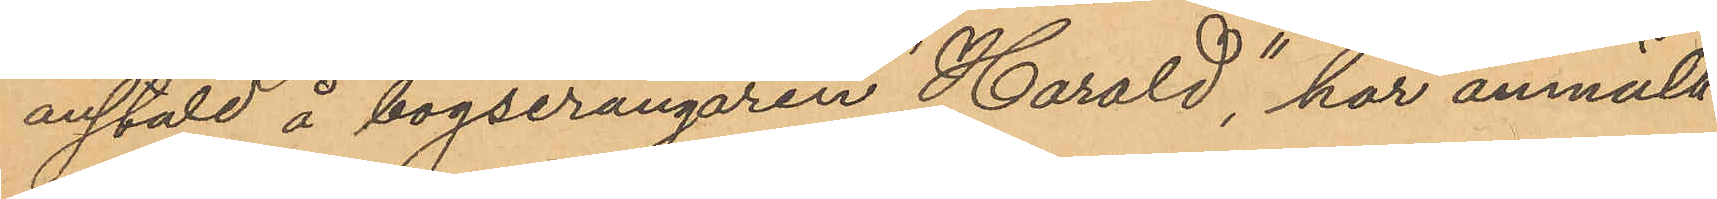anstäld å bogserångaren "Harald"; har anmält
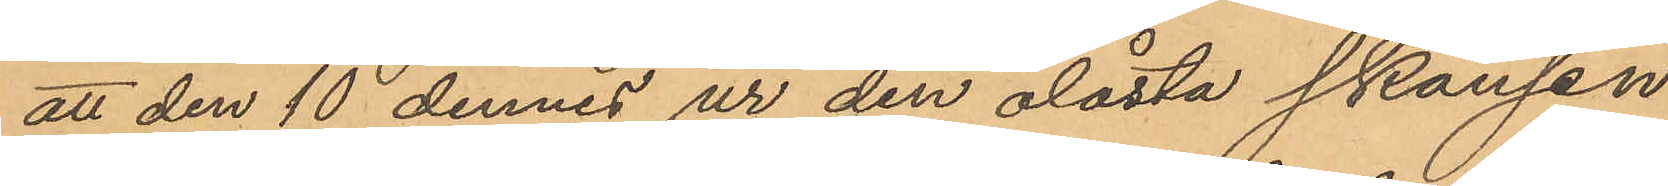att den 10 dennes ur den olåsta skansen
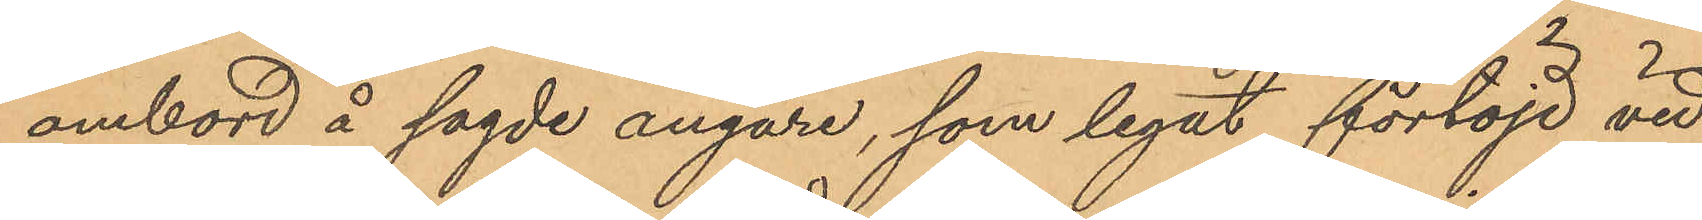ombord å sagde ångare, som legat förtöjd vid
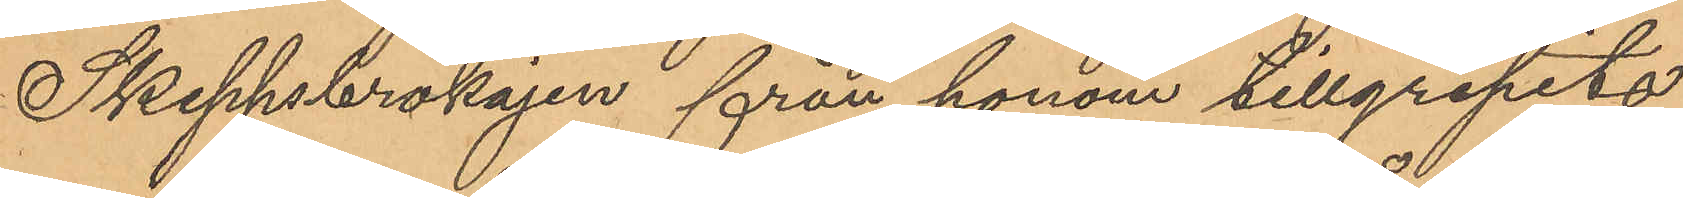Skeppsbrokajen från honom tillgripits
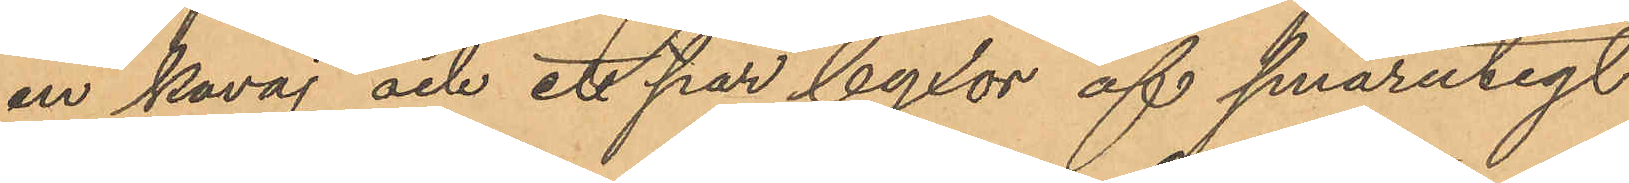en kavaj och ett par byxor af smårutigt
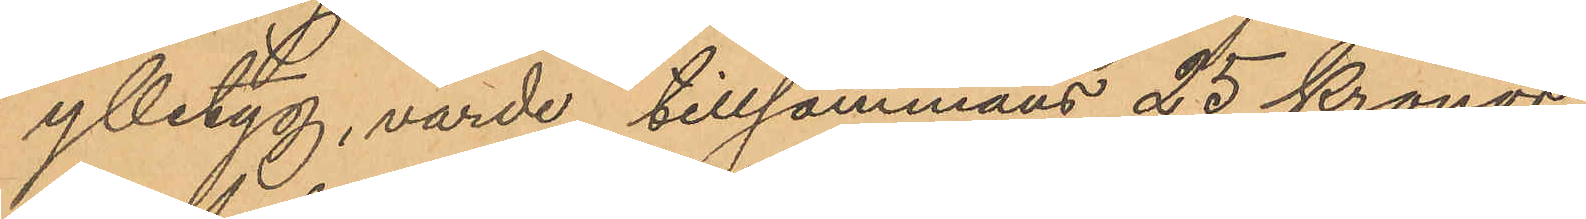ylletyg, värde tillsammans 25 Kronor.
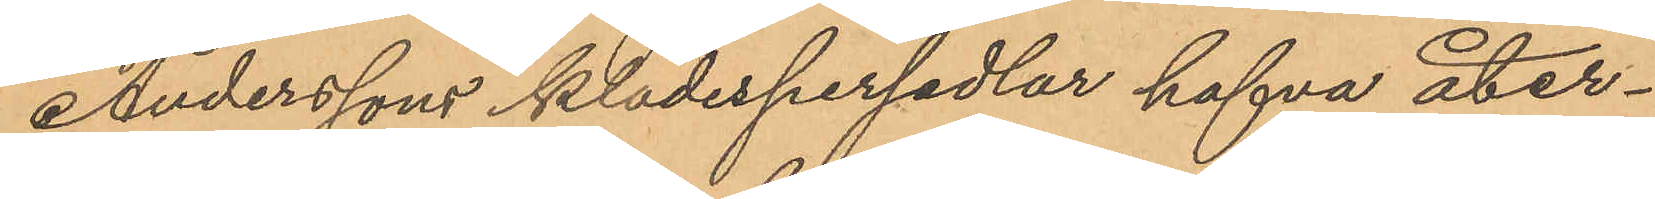Anderssons klädespersedlar hafva åter¬
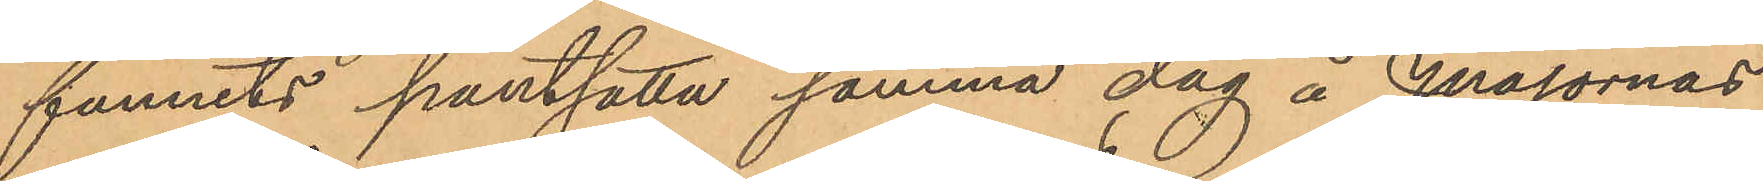funnits pantsatta samma dag å Majornas
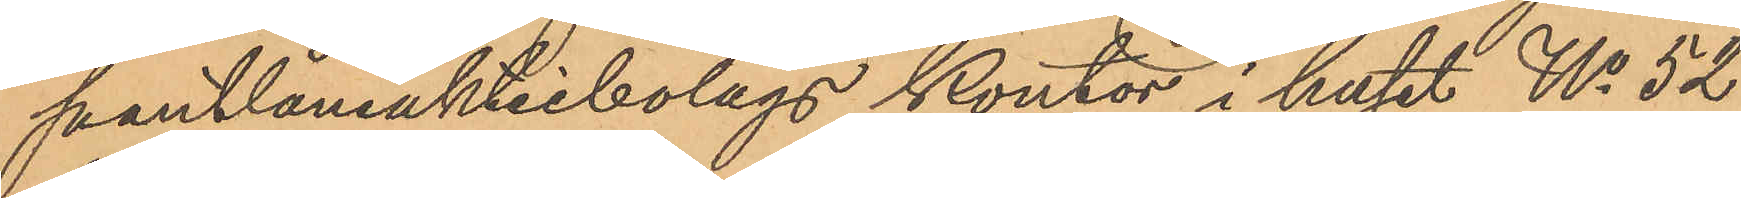pantlåneaktiebolags kontor i huset No 52
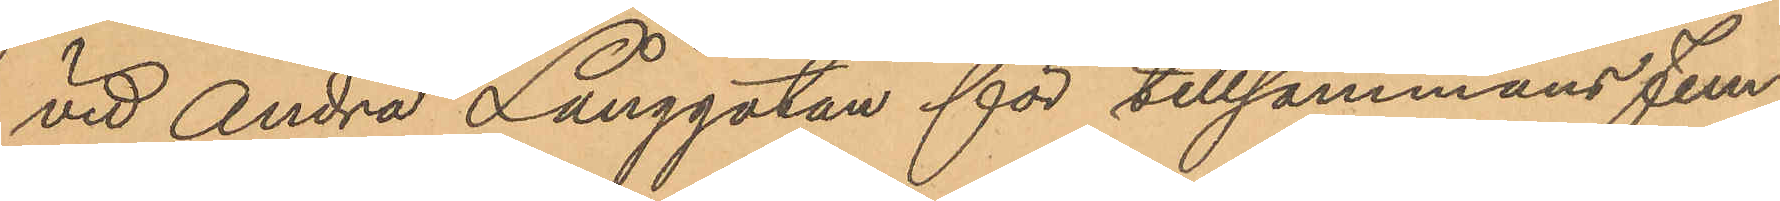vid Andra Långgatan för tillsammans fem¬
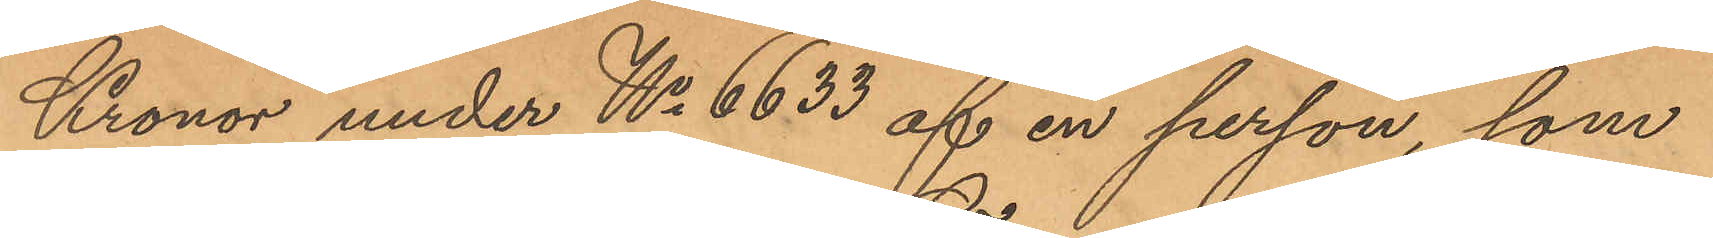Kronor under No 6633 af en person, som
